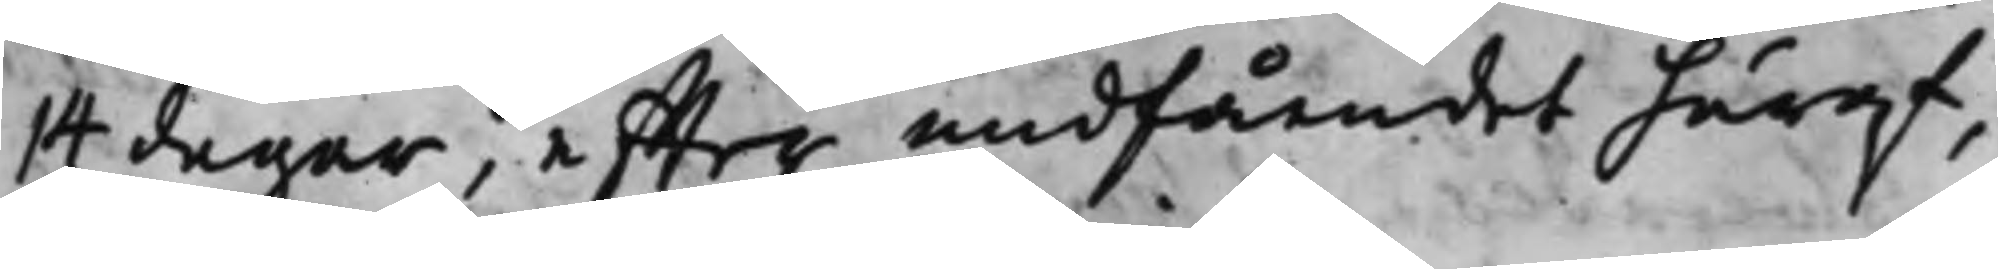14 dagar, effter undfåendet häraf,
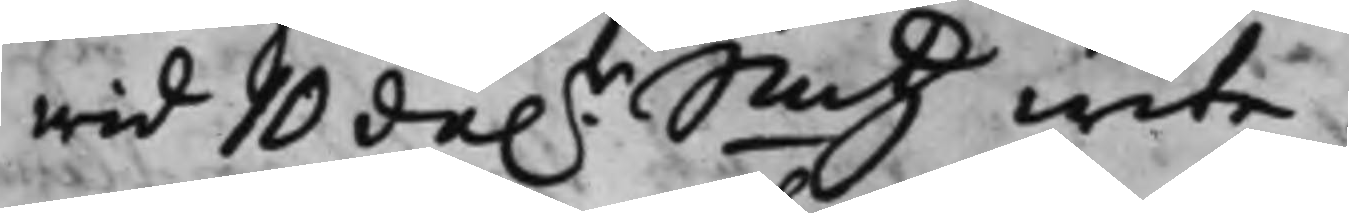wid 10 da.r Smtz wite.
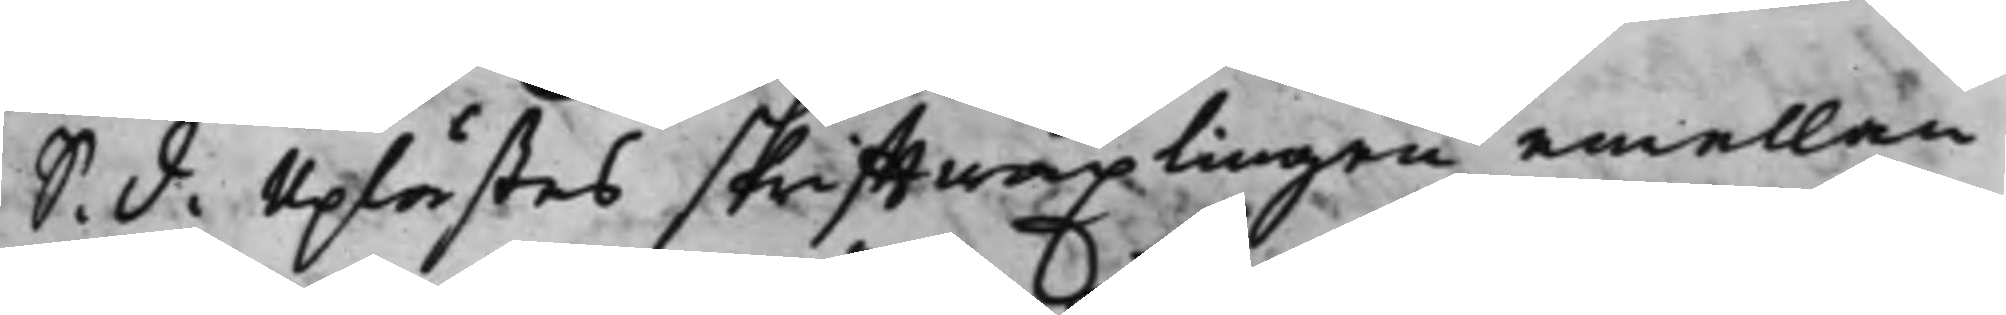S. d. Uplästes skrifftwäxlingen emellan
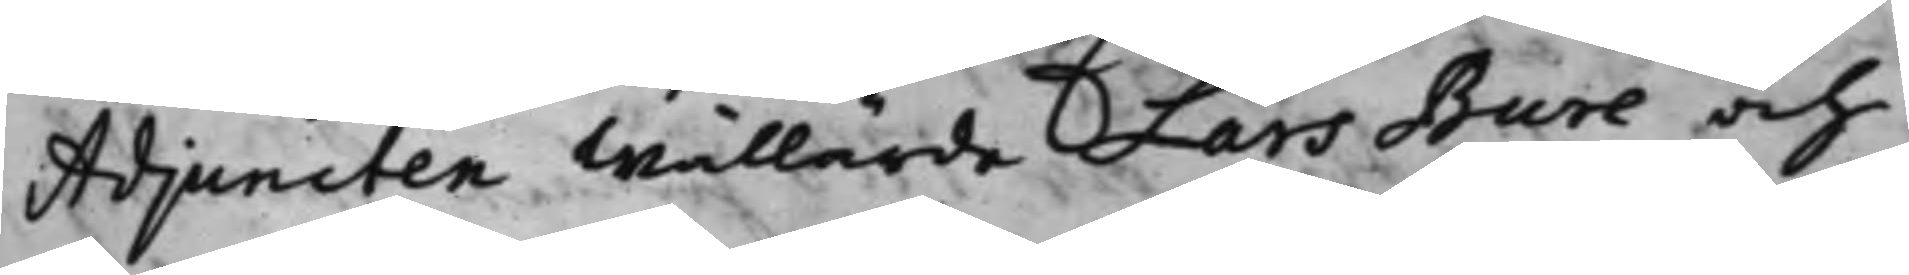Adjuncten Wällärde Lars Bure och
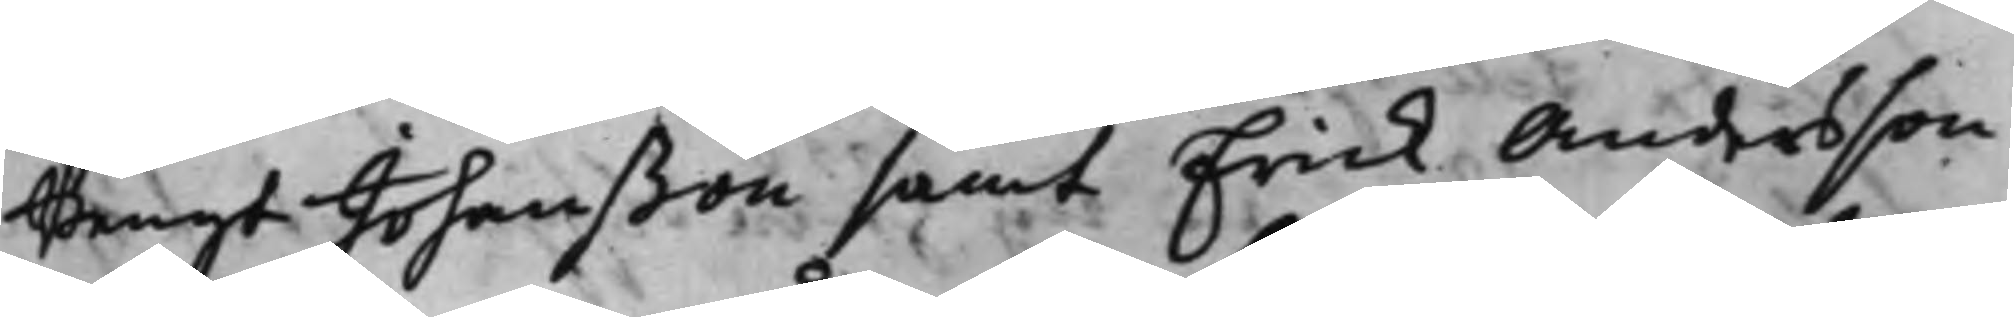Bengt Johanßon samt Erick Andersson
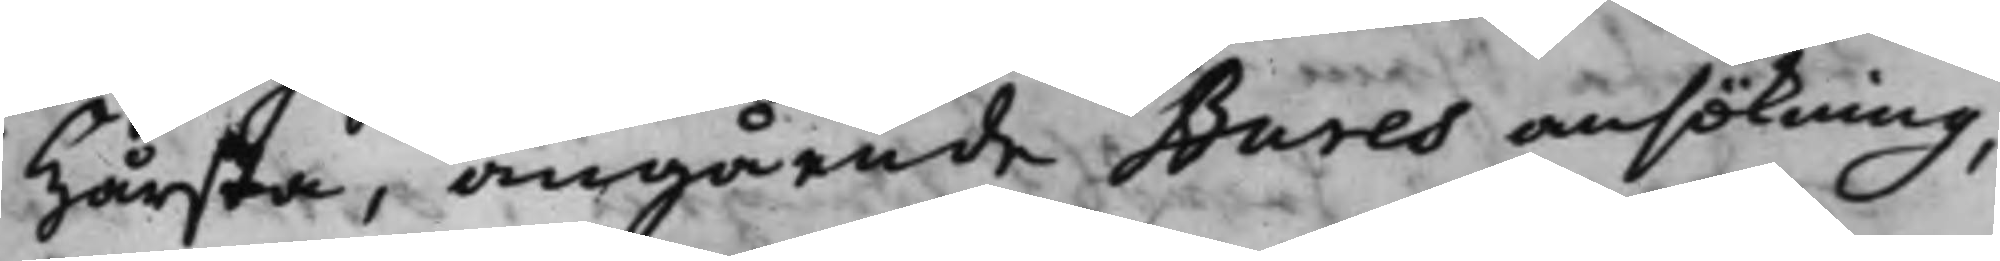i Hårsta, angående Bures ansökning,
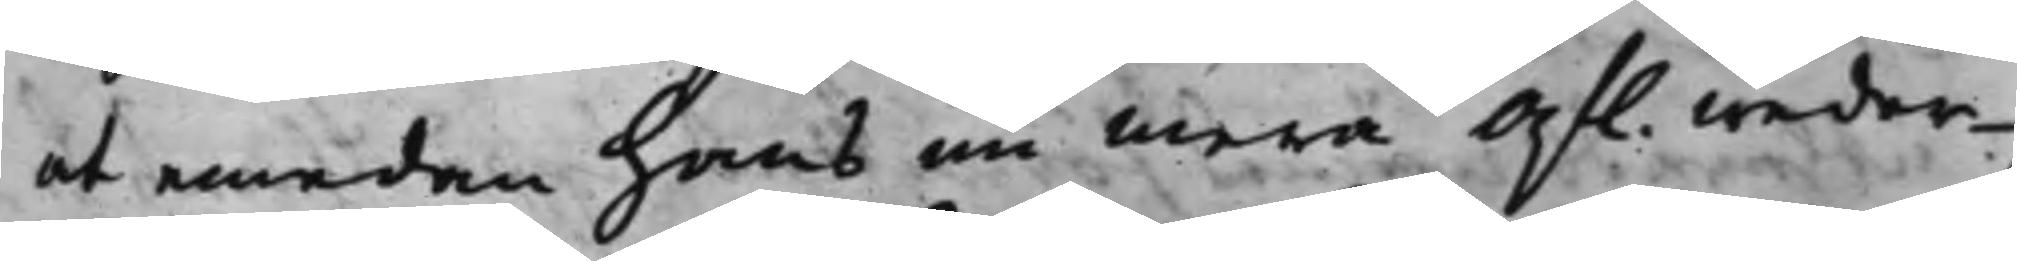at emedan hans nu mera Af. weder¬
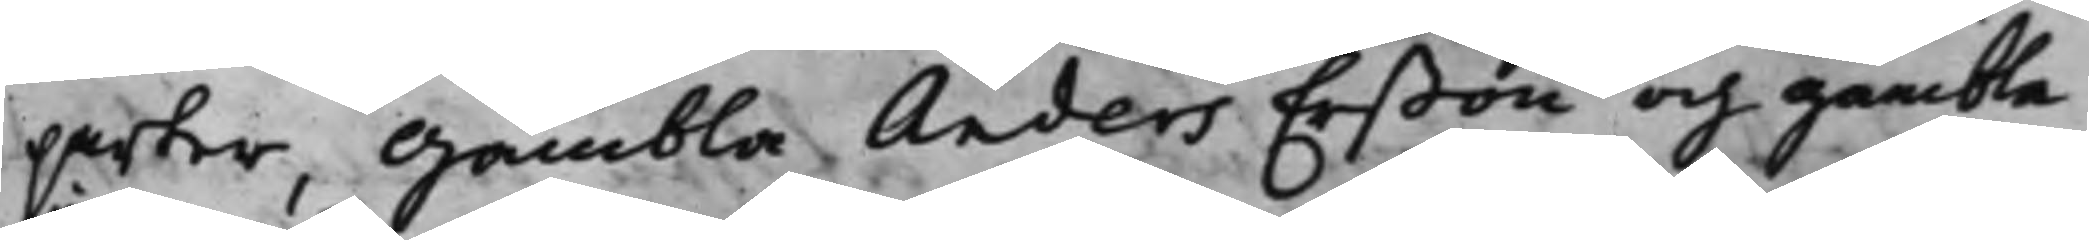parter, Gambla Anders Erßon och gambla
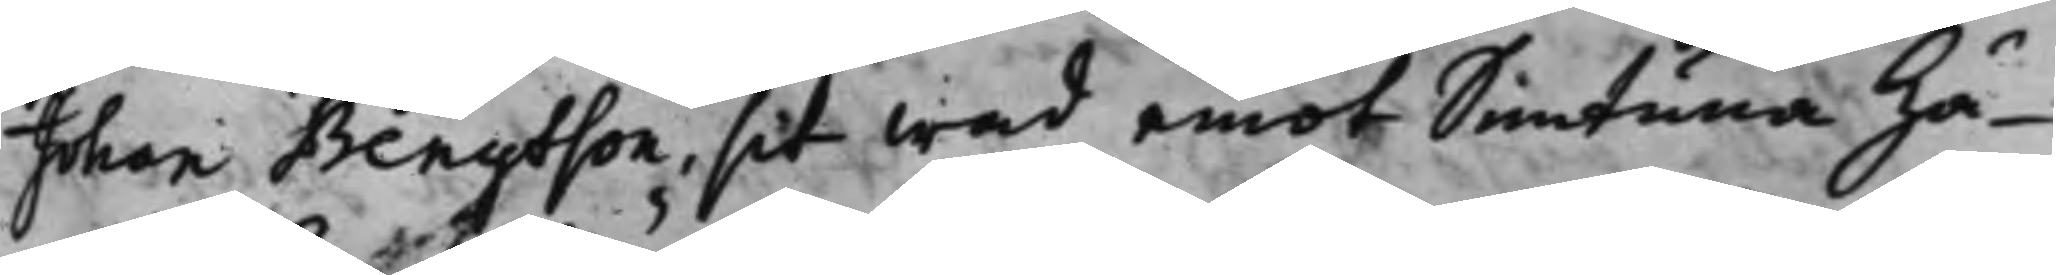Johan Bengtson, at wad emot Simtuna Hä¬
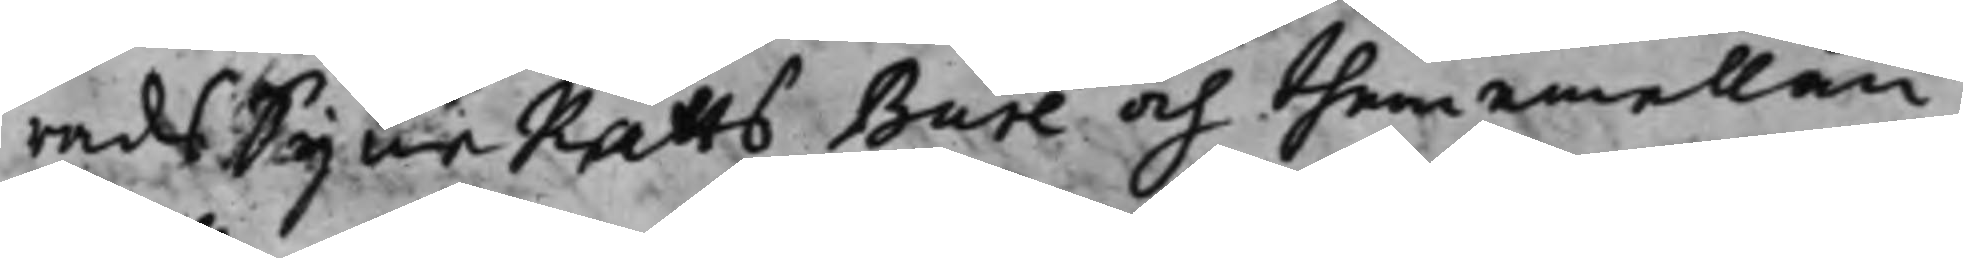rads SyneRätts Bure och them emellan
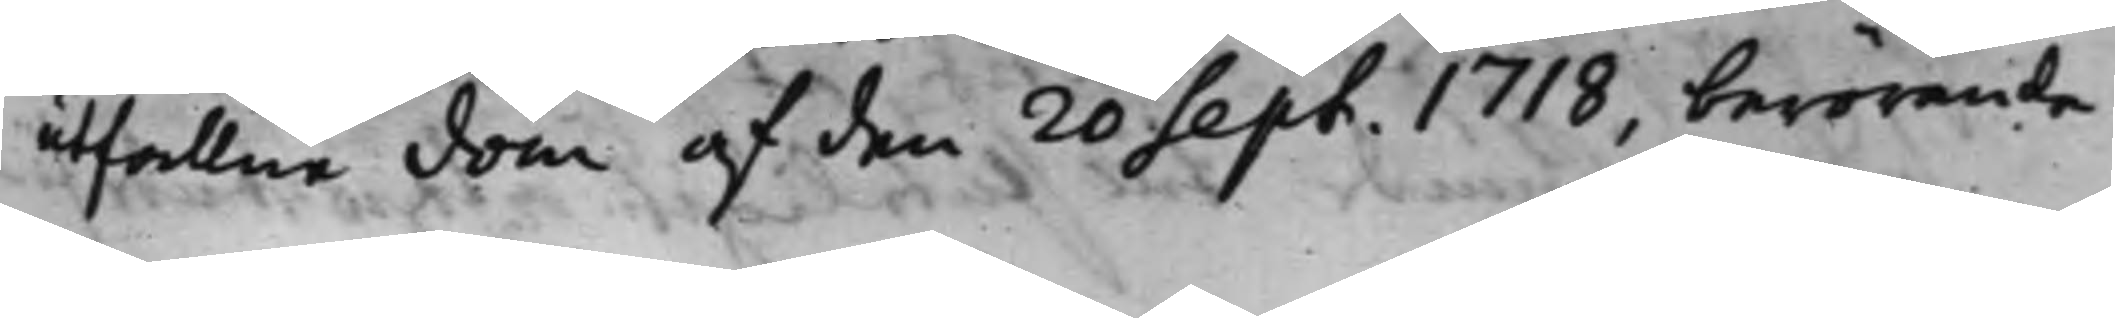utfallne dom af den 20 Sept. 1718, berörande
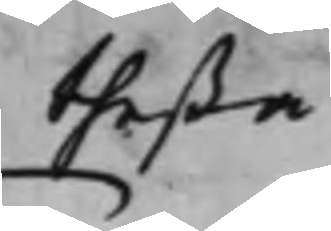theßa
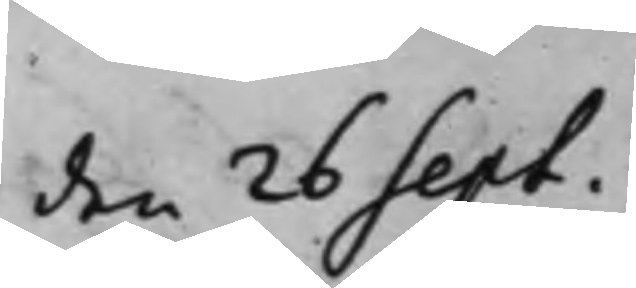den 26 Sept.
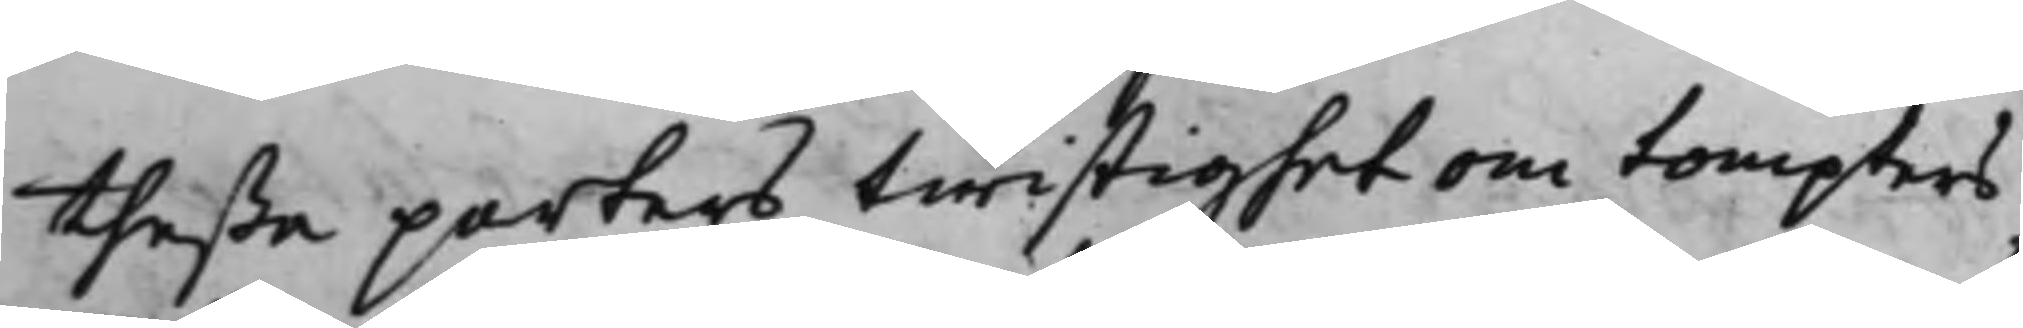theße parters twistighet om tompters
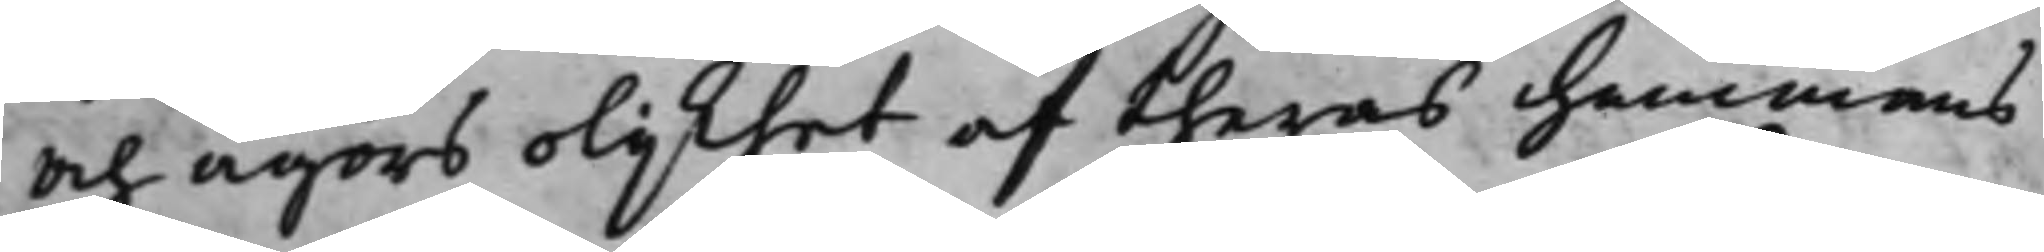och ägors olijkhet af theras hemmans
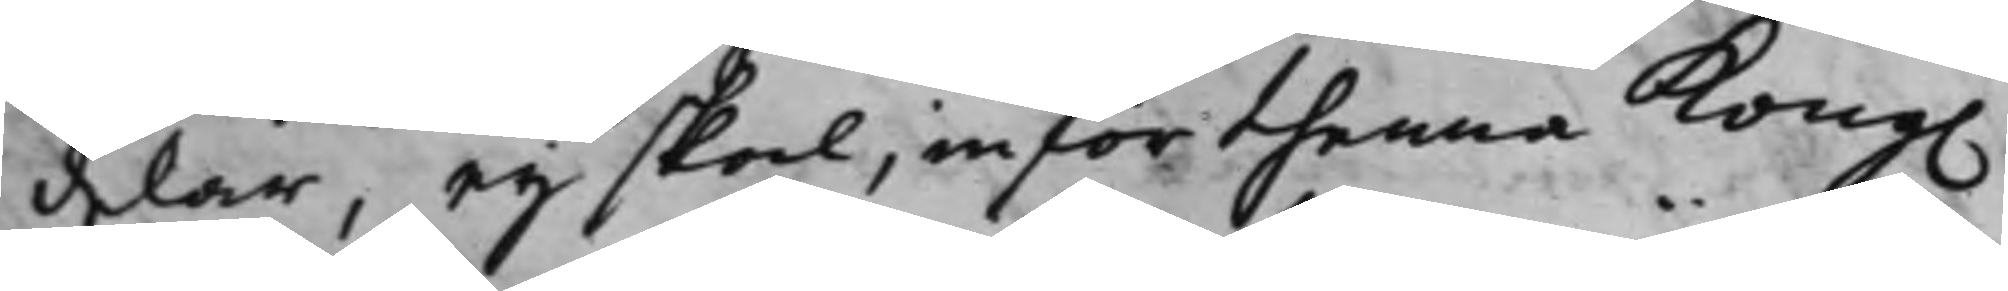delar, eij skal, inför thenna Kong.
